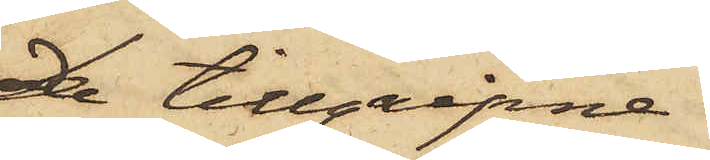De tillgripne
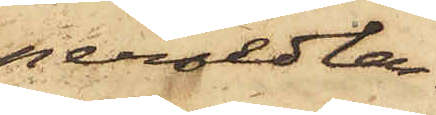persedlar¬
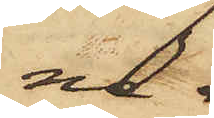na,
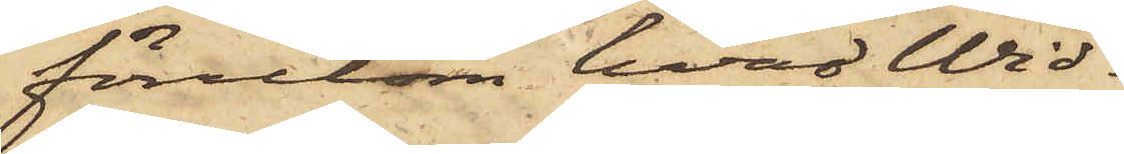förutom hvad Wid¬
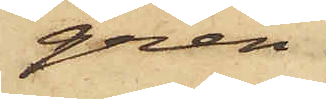gren
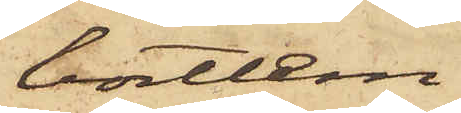bortläm¬
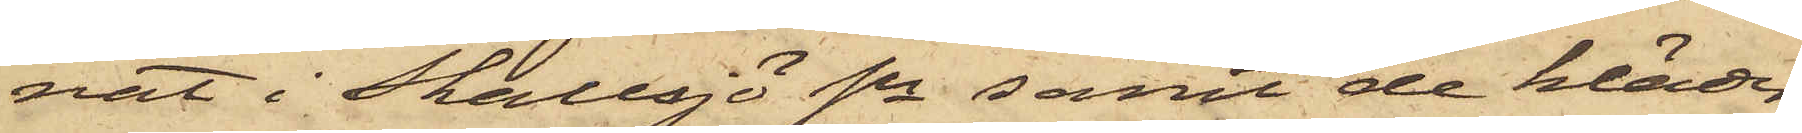nat i Skallsjö Sn samt de kläder
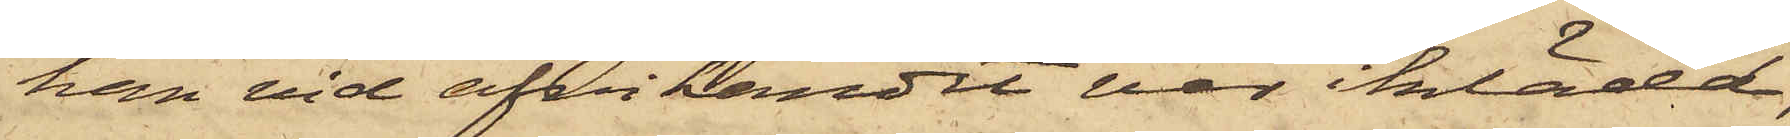han vid afvikandet var iklädd,
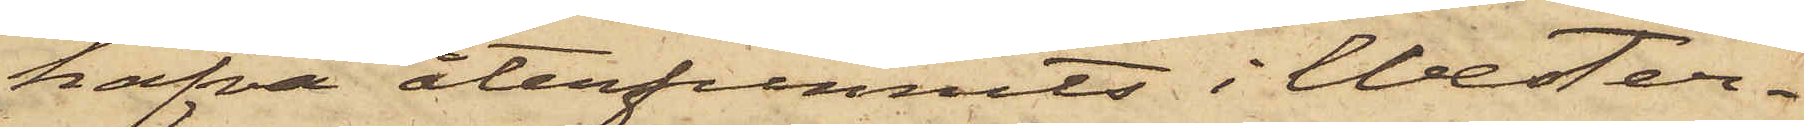hafva återfunnits i Wester¬
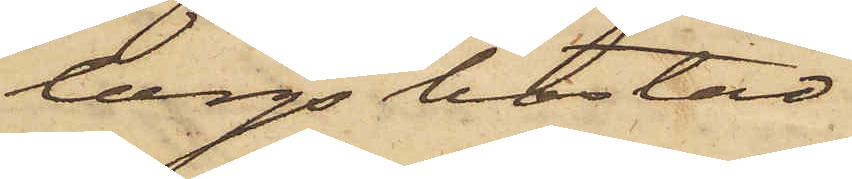bergs bostad.
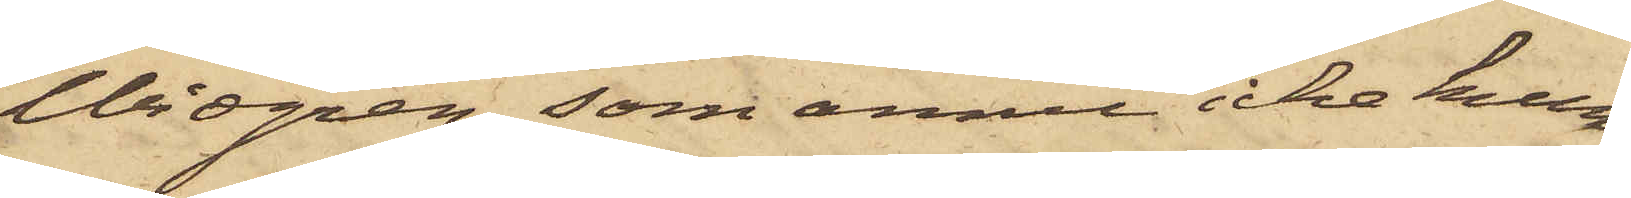Widgren, som ännu icke kun¬
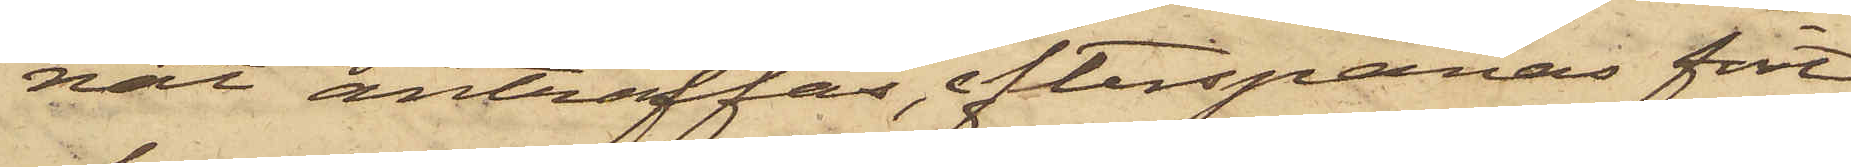nat anträffas, efterspanas fort¬
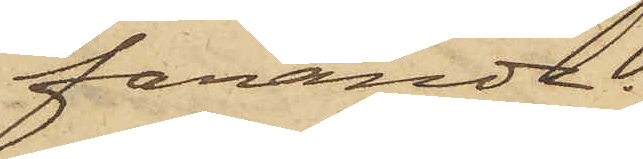farande.
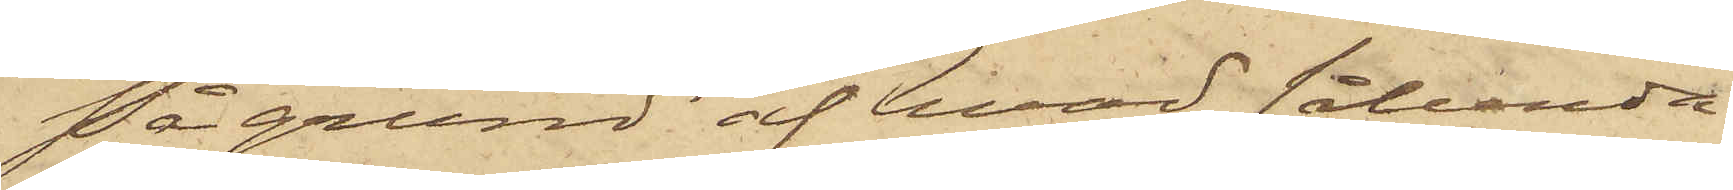På grund af hvad sålunda
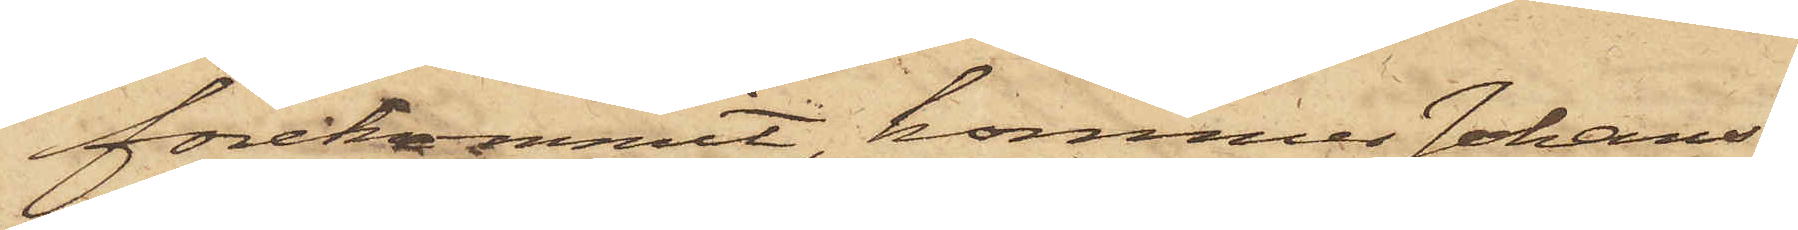förekommit, kommer Johans¬
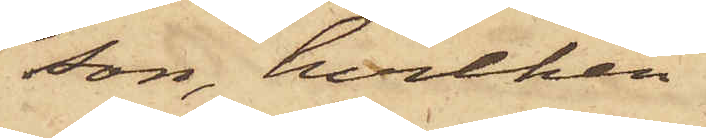son, hvilken
